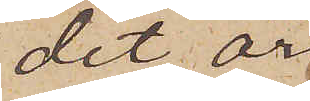det är
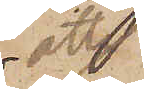att
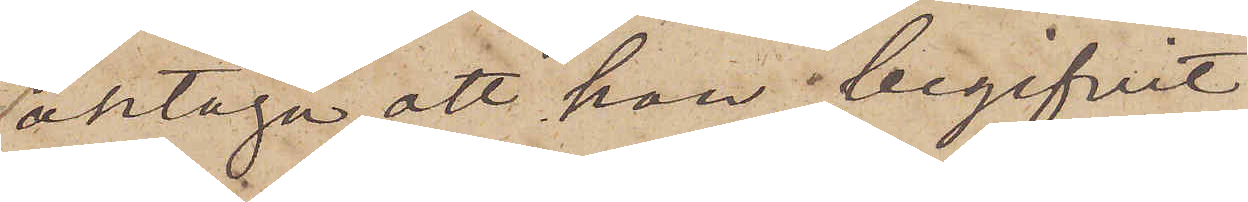antaga, att han begifvit
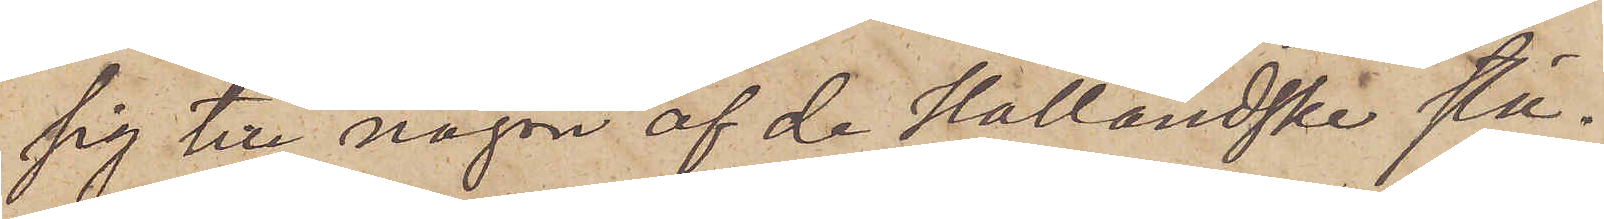sig till någon af de Halländska stä¬
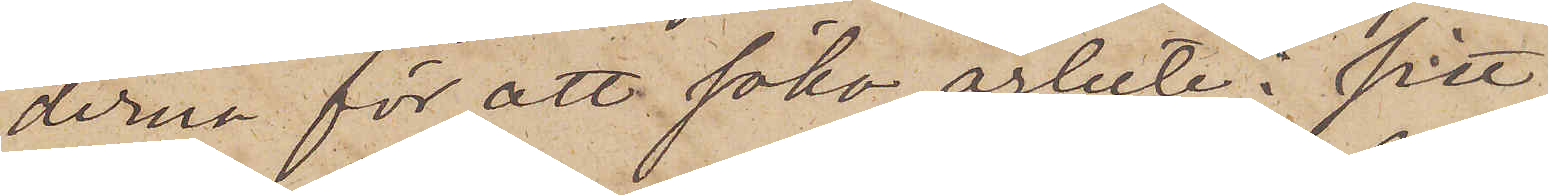derna för att söka arbete i sitt
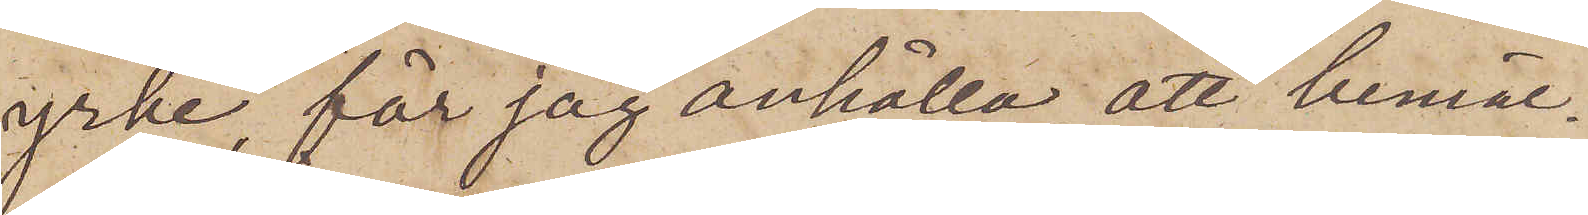yrke, får jag anhålla, att bemäl¬
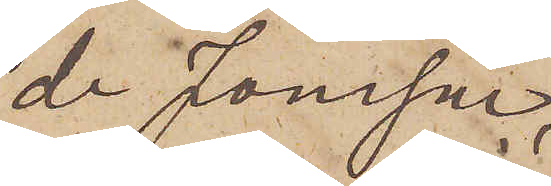de Jonsson,
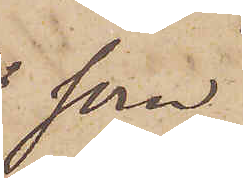som
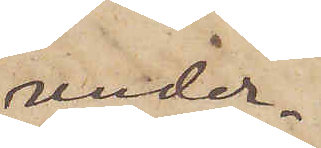under¬
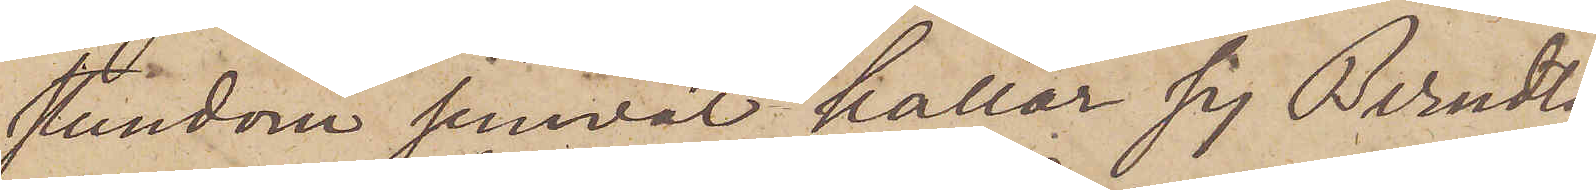stundom jemväl kallar sig Berndts¬
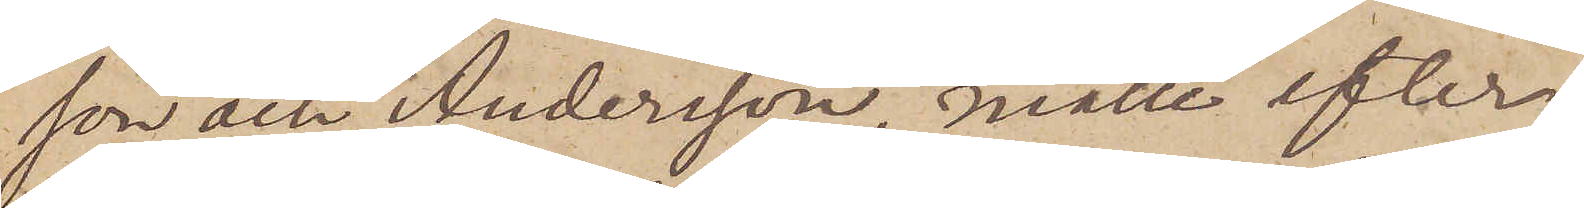son och Andersson, måtte efter¬
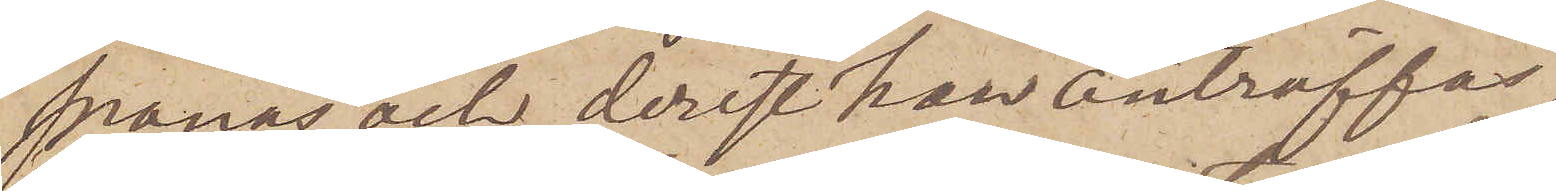spanas och, derest han anträffas,
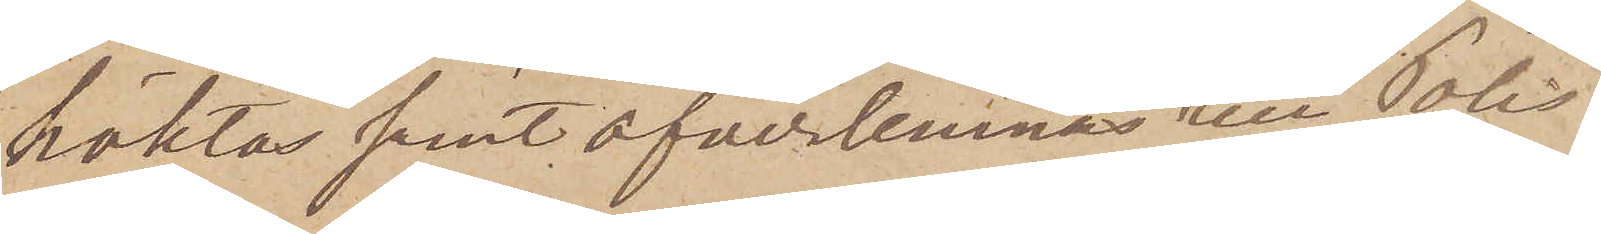häktas samt öfverlemnas till Polis¬
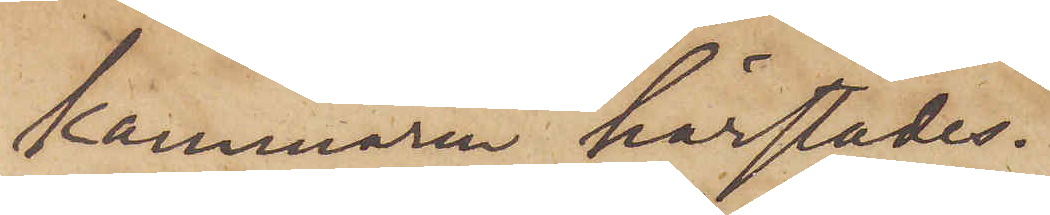kammaren härstädes.
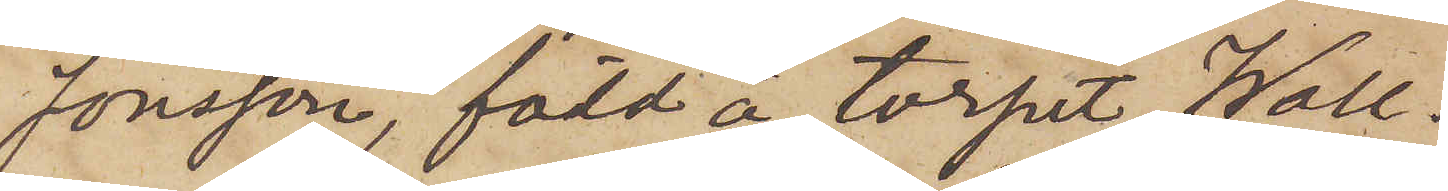Jonsson, född å torpet Wall¬
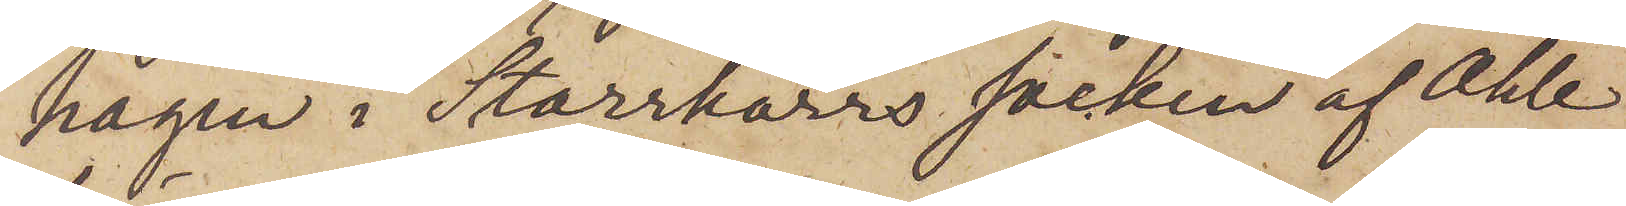hagen i Starrkärrs socken af Ahle
